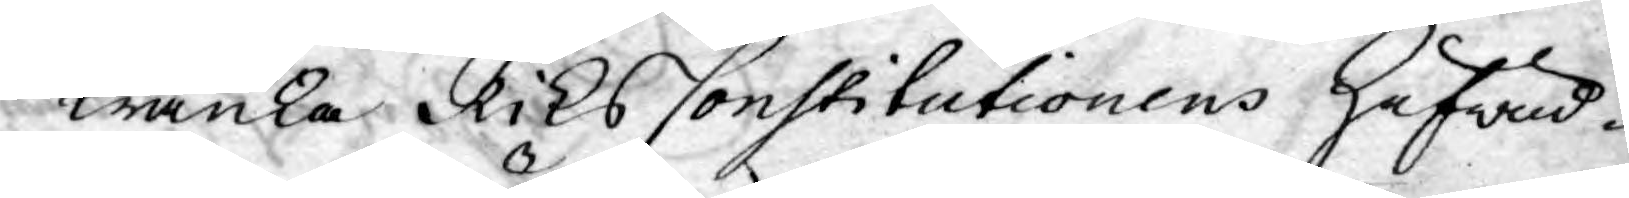Kränka Riks Constitutionens Hufwad¬
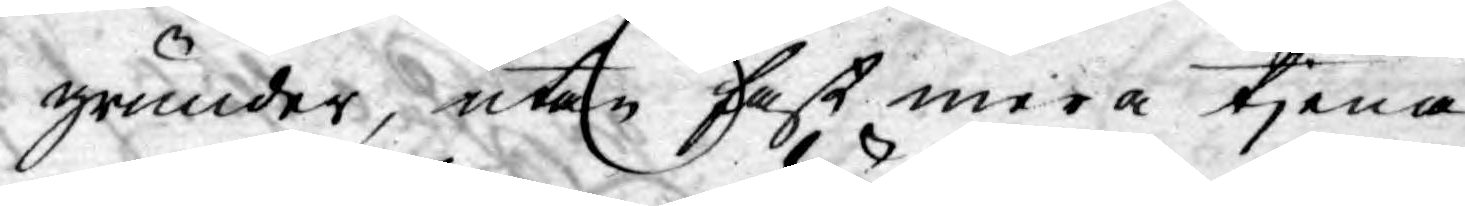grunder, utan fast mera tjena
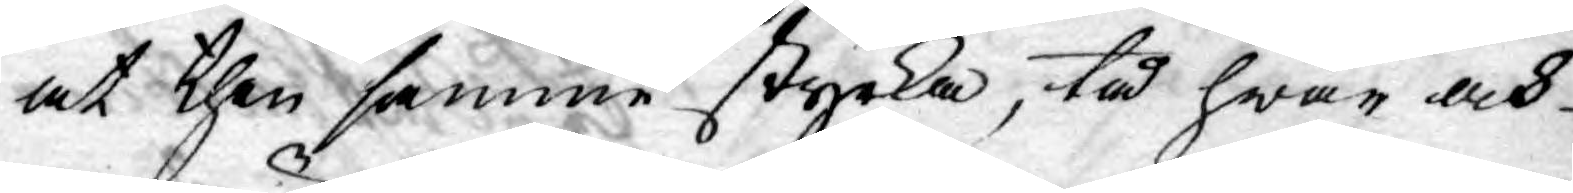at then samme styrka, tå hwar och
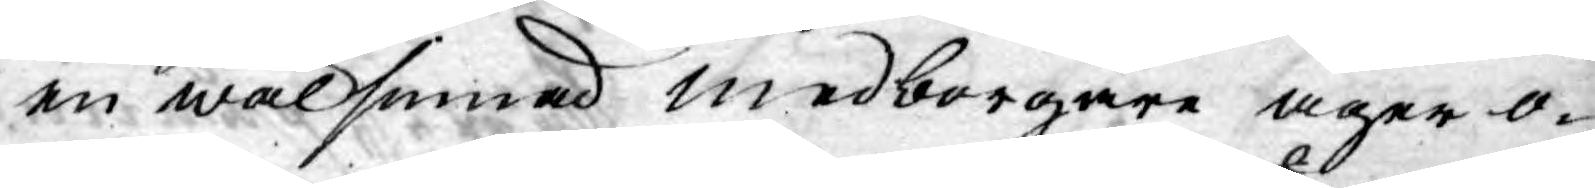en wälsinnad medborgare äger o¬
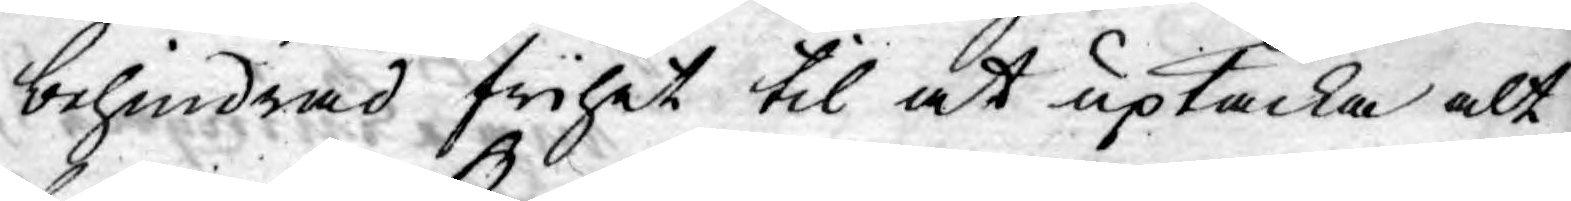behindrad frihet til at uptäcka alt
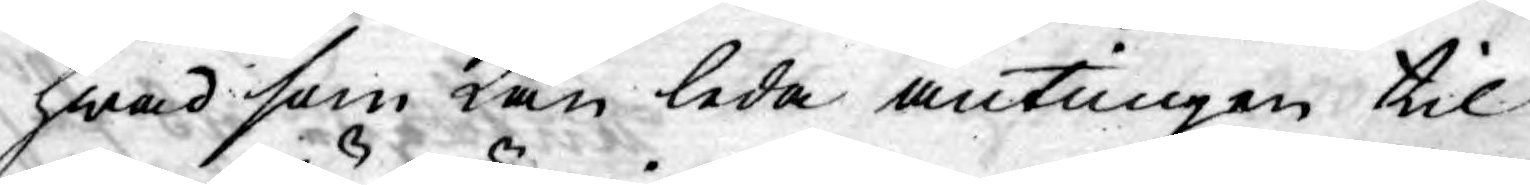hwad som Kan leda antingen til
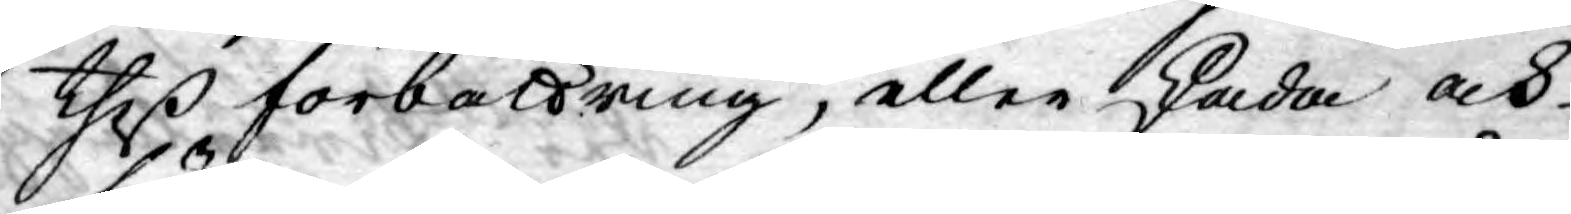theß förbättring, eller skada och
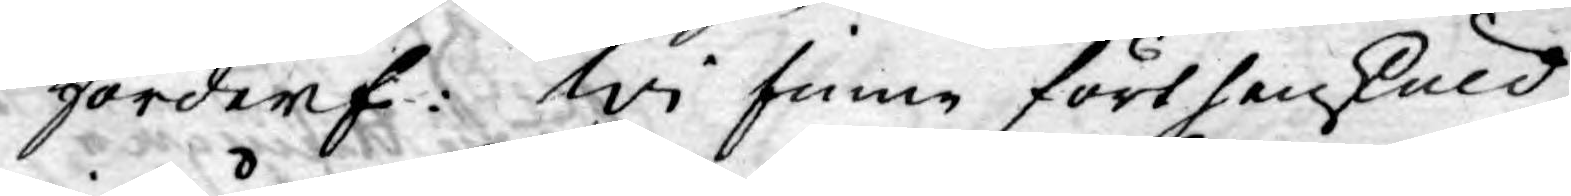förderf: Wi finne förthenskuld
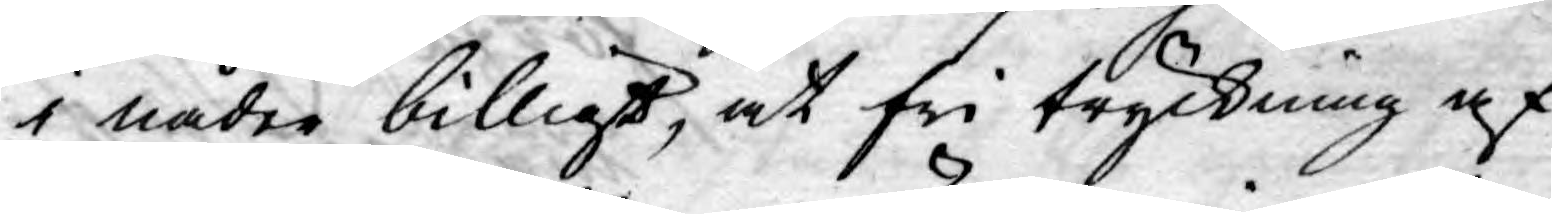i nåder billigt, at fri tryckning af
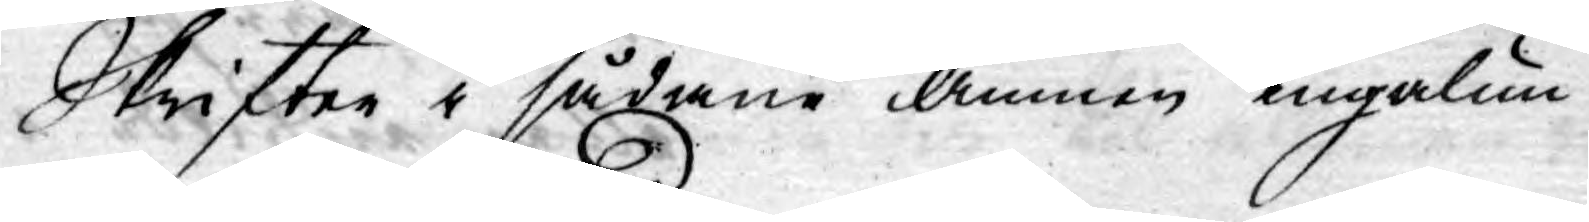Skrifter i sådane Ämnen ingalun¬
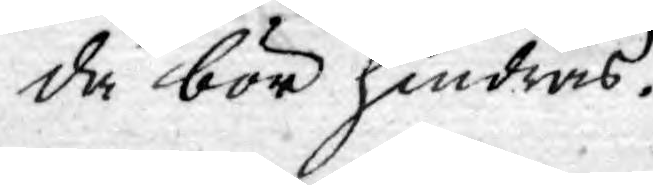da bör hindras.
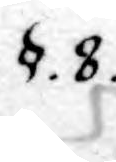§. 8.
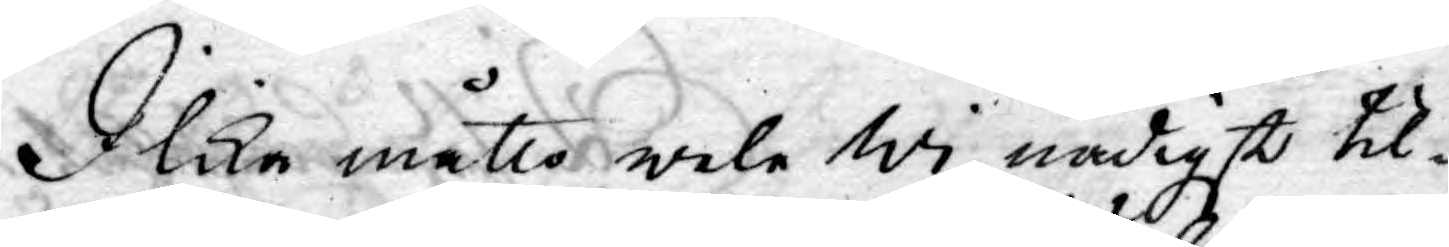I lika måtto wele wi nådigst til¬
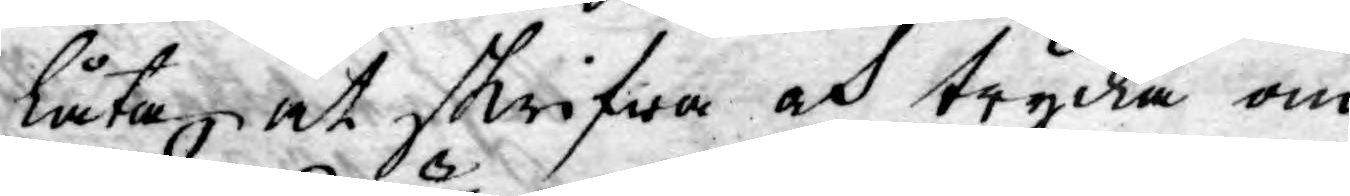låta at skrifwa och trycka om
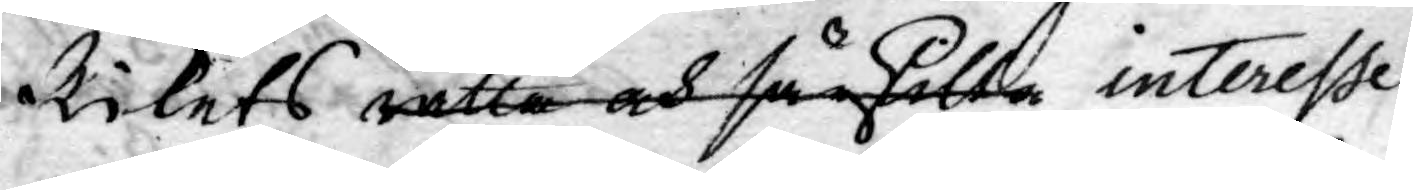Rikets rätta och särskilta interesse
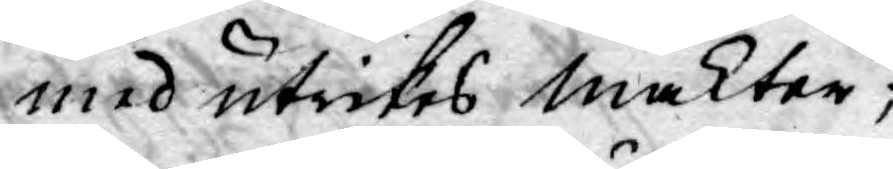med utrikes makter;
